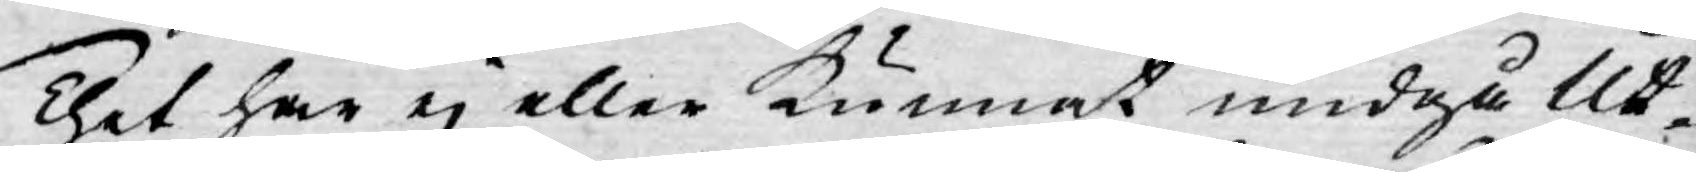Thet har ej eller kunnat undgå Ut¬
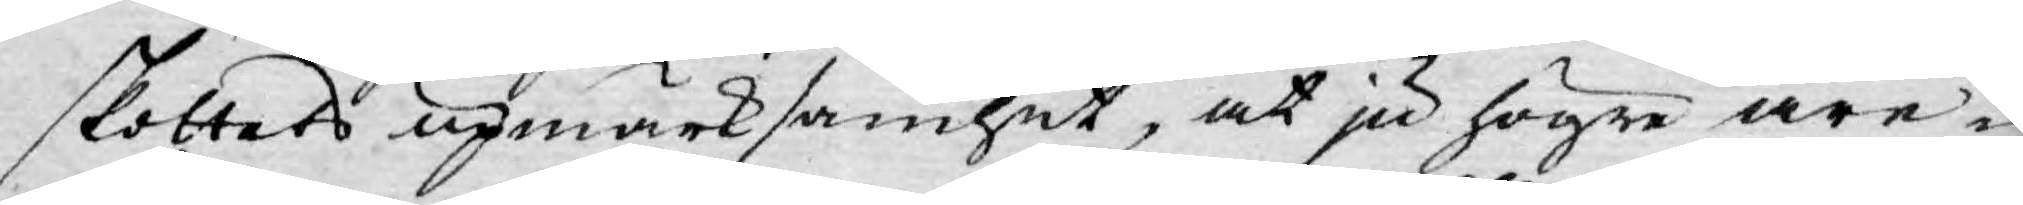skottets upmärksamhet, at ju högre äre¬
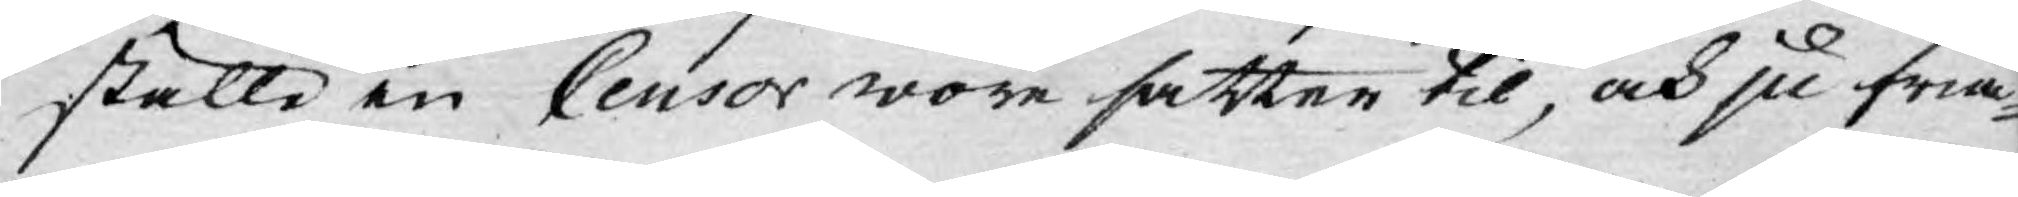ställe en Censor wore satter til, och ju fria¬
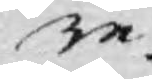re.
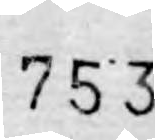753.
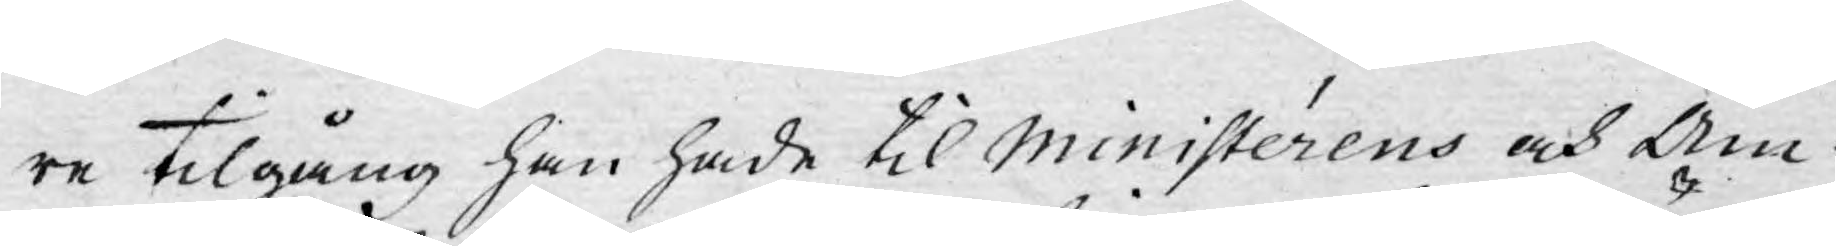re tilgång han hade til Ministérens och Äm¬
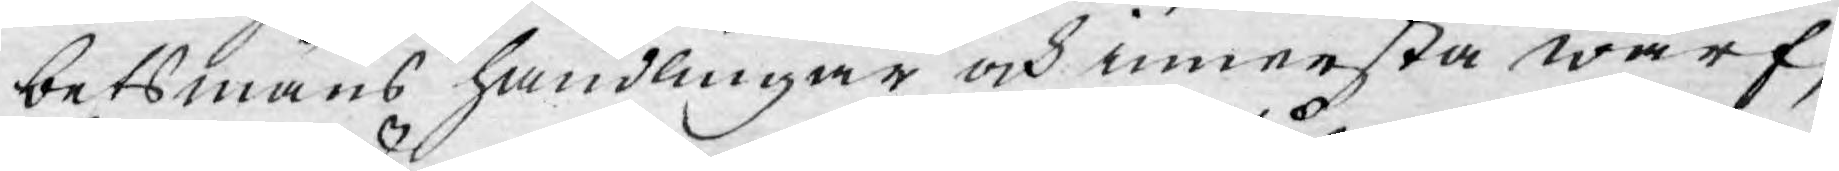betsmäns handlingar och innersta wärf,
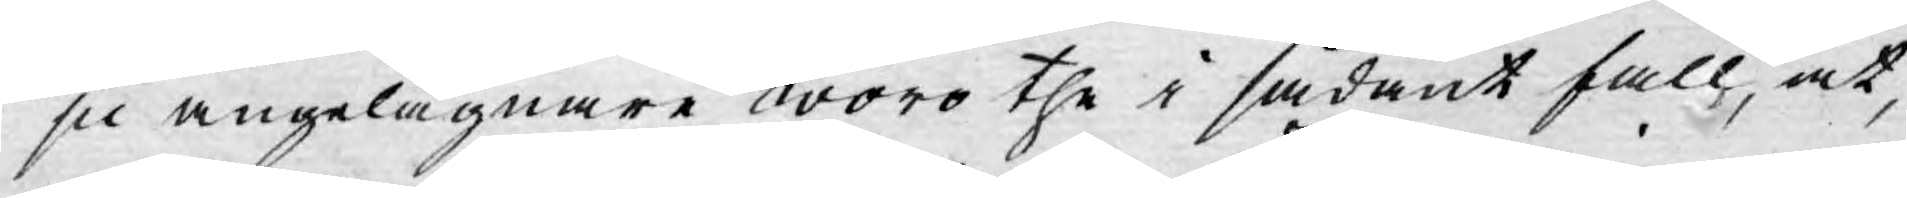ju angelägnare woro the i sådant fall, at,
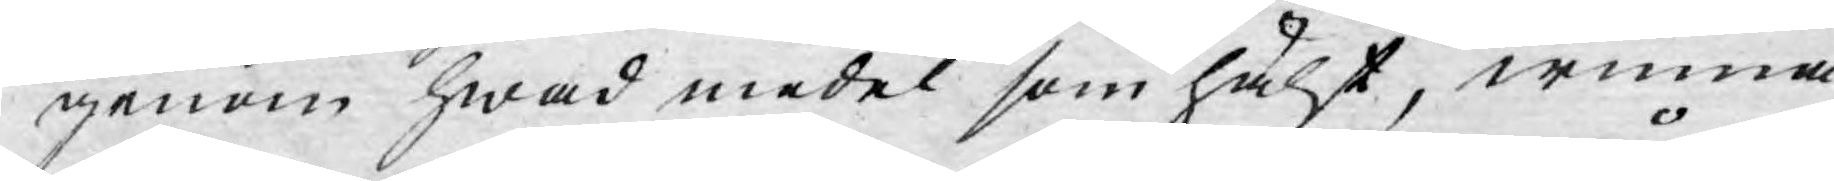genom hwad medel som hälst, winna
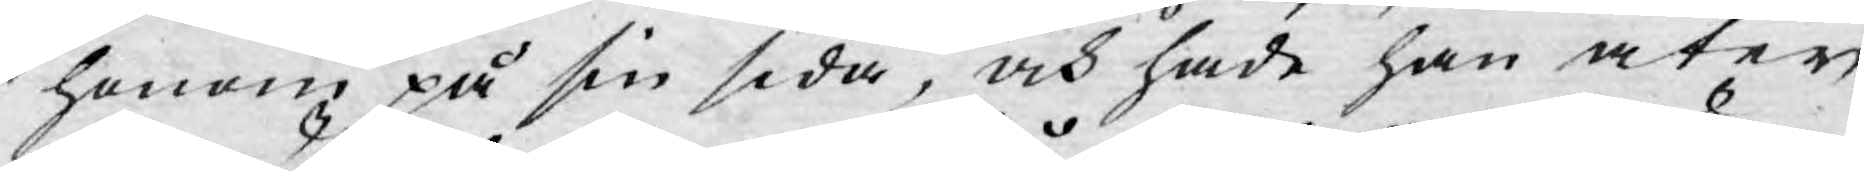honom på sin sida, och hade han åter
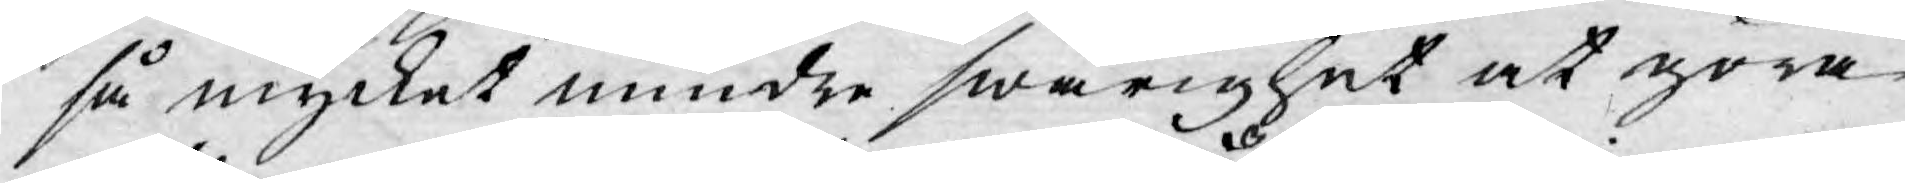så mycket mindre swårighet at göra
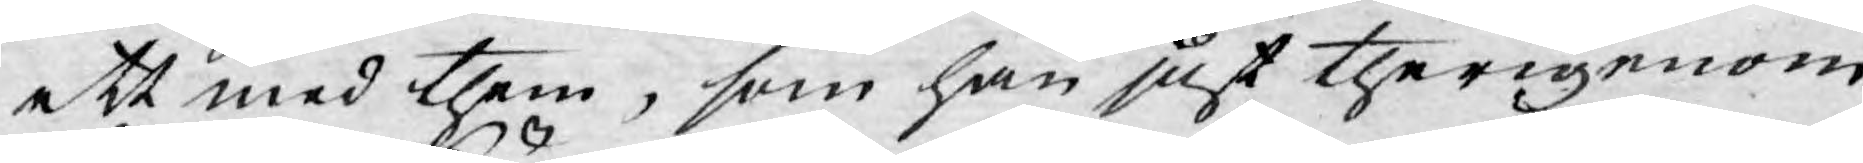ett med them, som han just therigenom
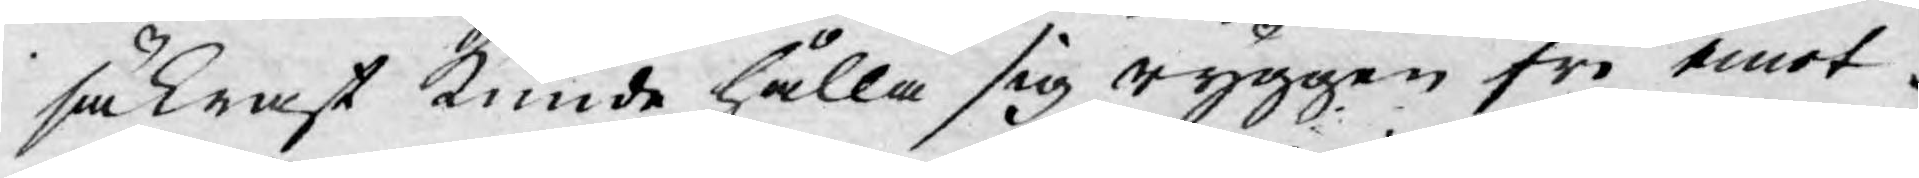säkrast kunde hålla sig ryggen fri emot.
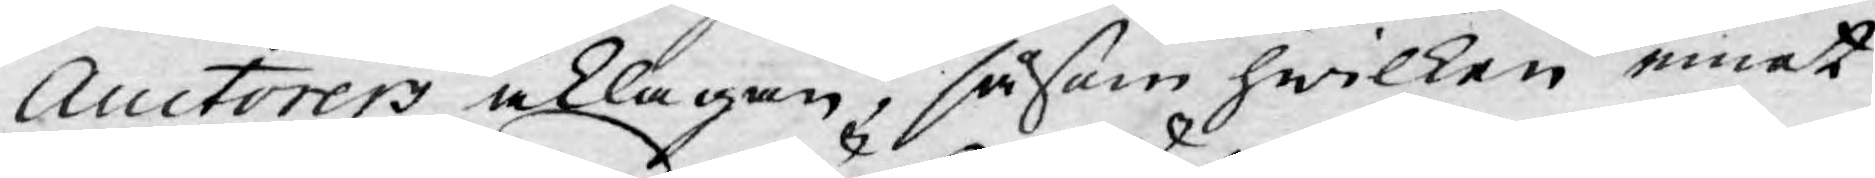Auctorers åklagan, såsom hwilken emot
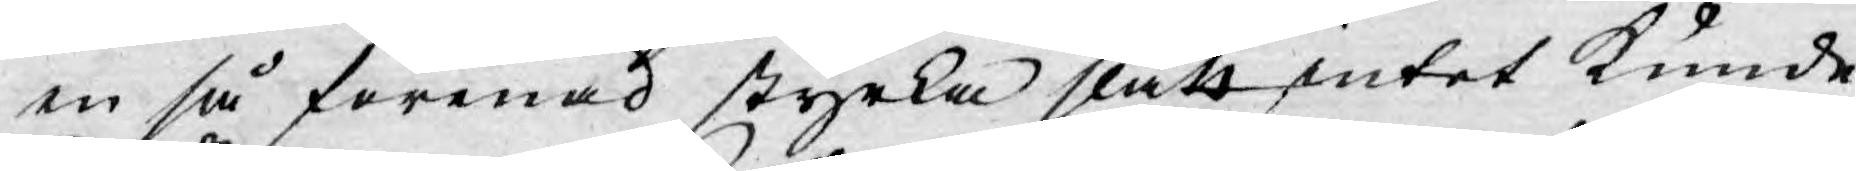en så förenad styrka slätt intet kunde
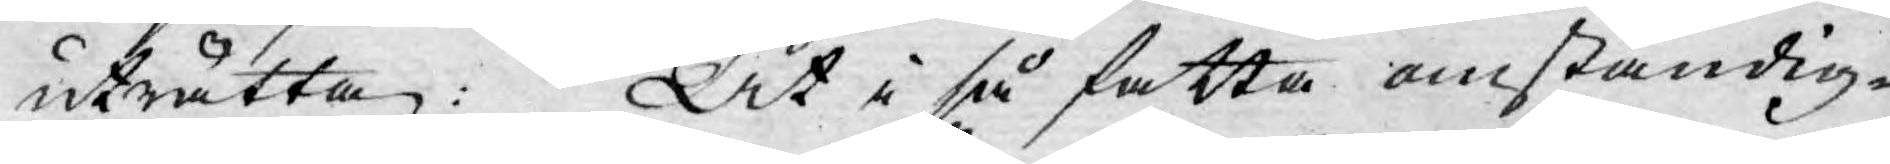uträtta: At i så fatta omständig¬
